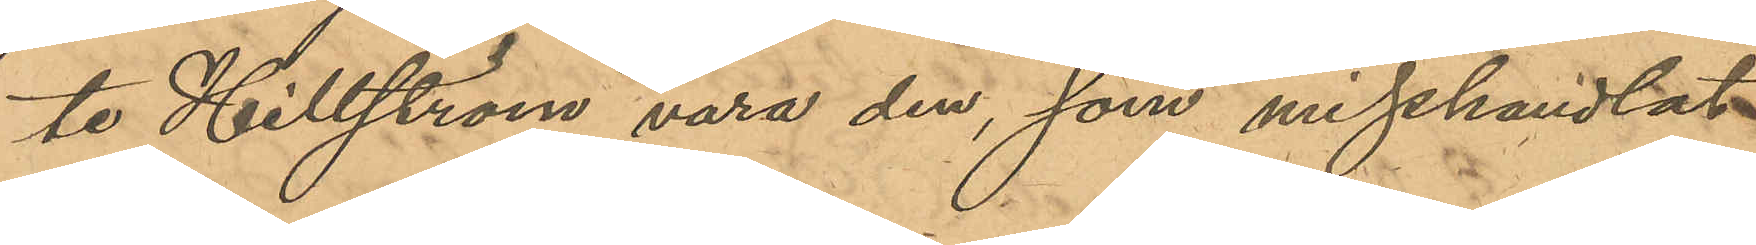te Hillström vara den, som misshandlat
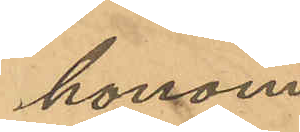honom.
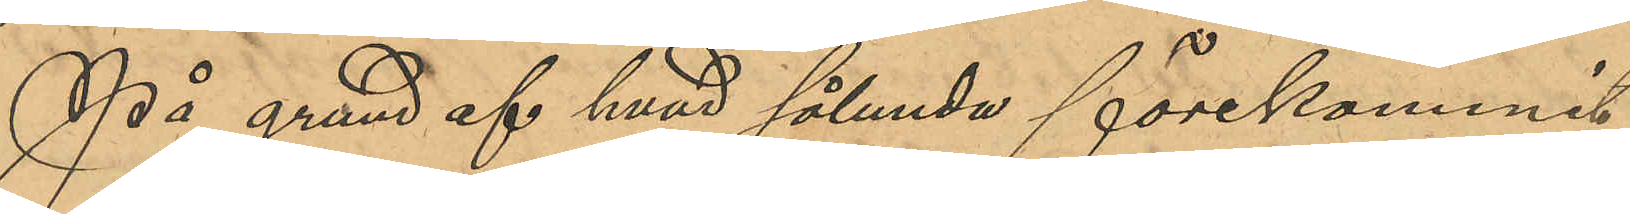På grund af hvad sålunda förekommit
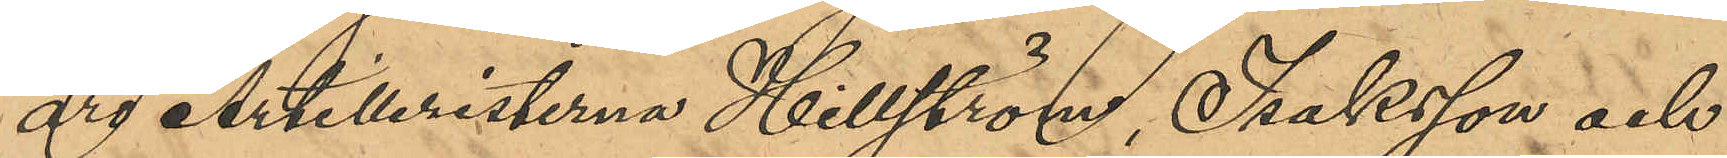äro Artilleristerna Hillström, Isaksson och
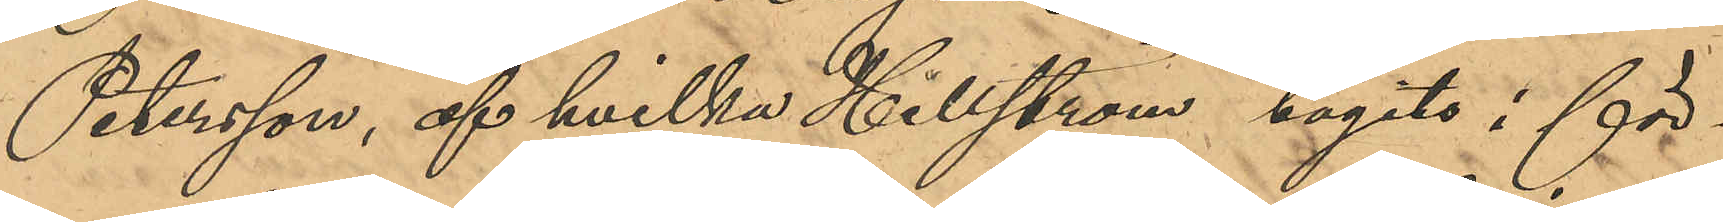Petersson, af hvilka Hillström tagits i för¬
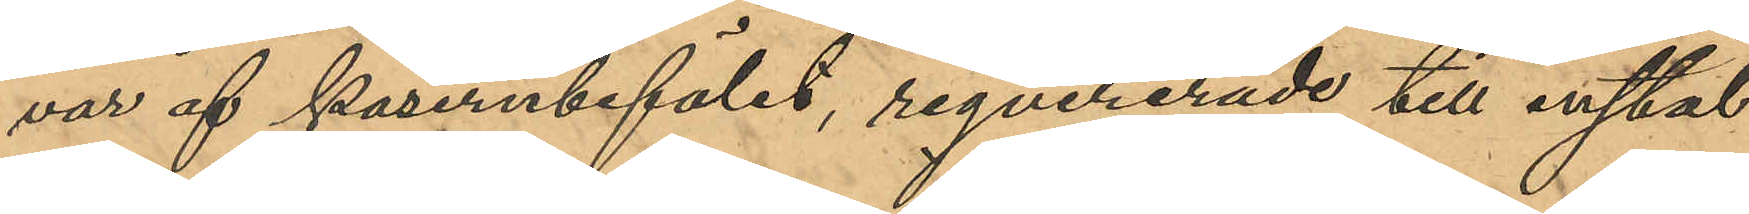var af kasernbefälet, reqvirerades till instäl¬
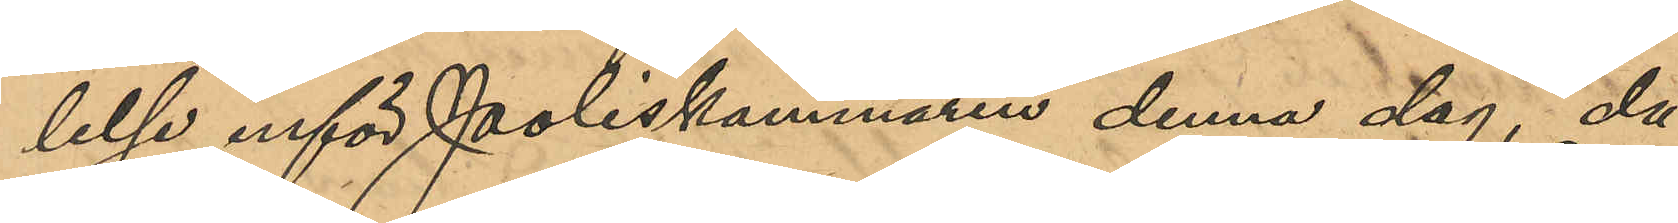lelse inför Poliskammaren denna dag, då
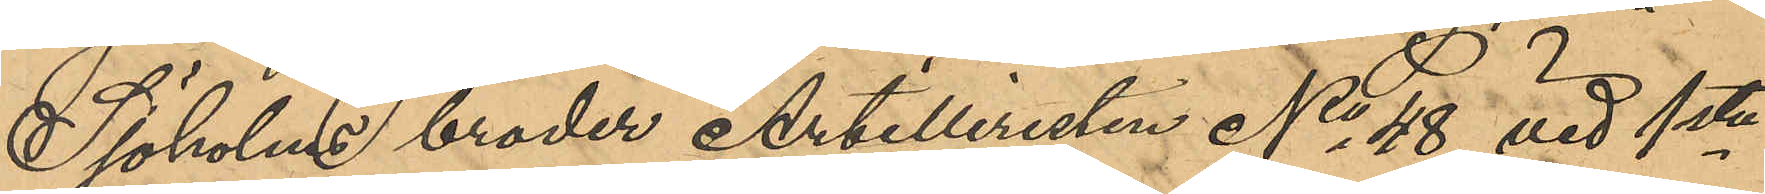Sjöholms broder Artilleristen No 48 vid 1ste
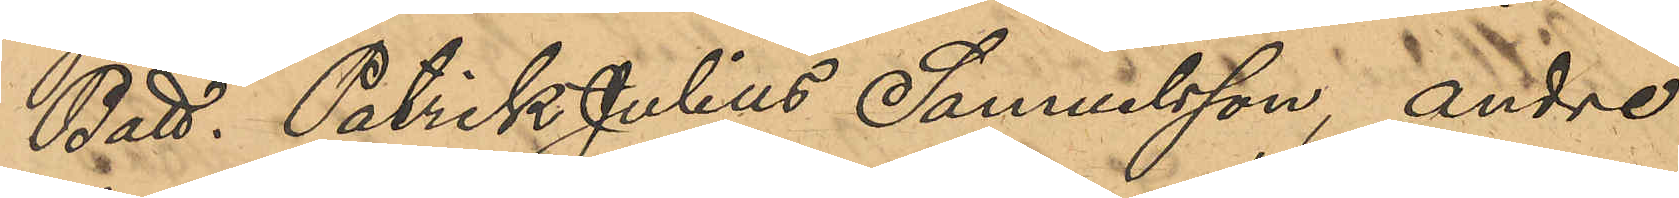Batt. Patrik Julius Samuelsson, andre
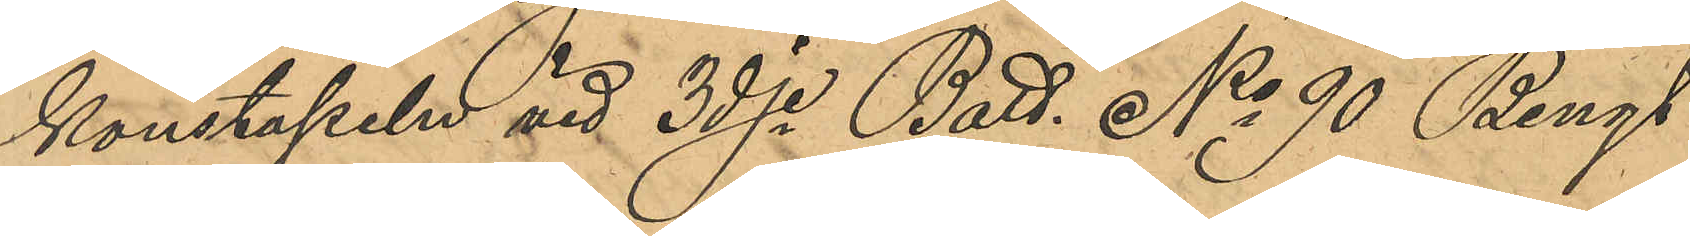Konstapeln vid 3dje Batt. No 90 Bengt
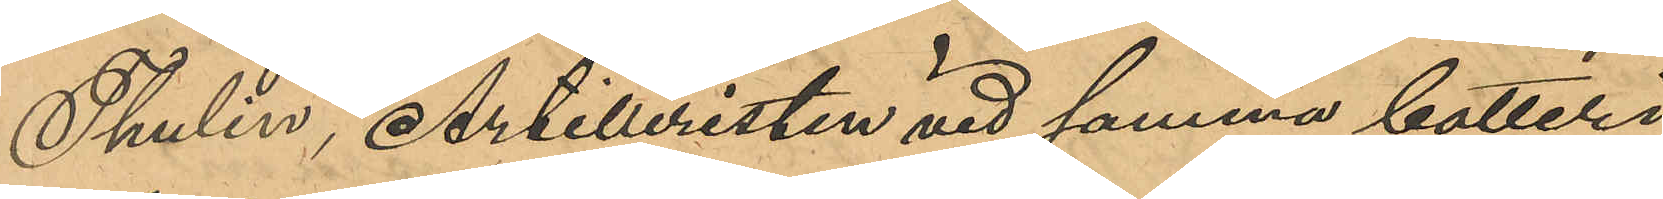Thulin, Artilleristen vid samma batteri
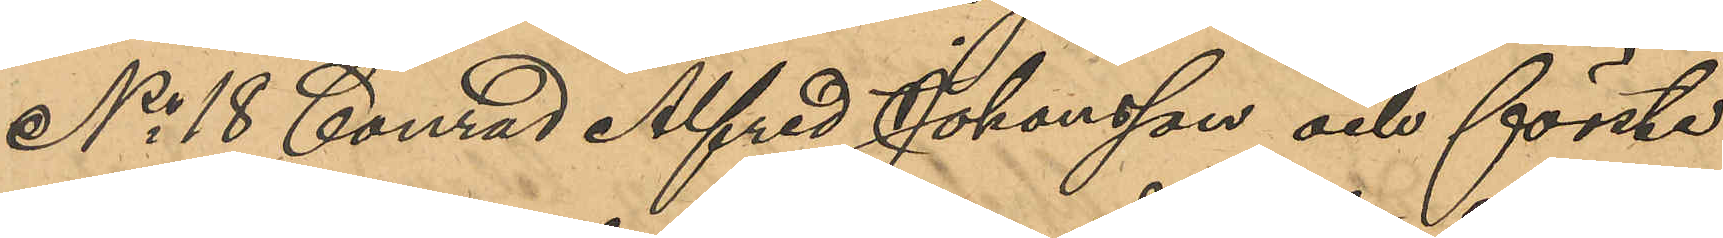No 18 Conrad Alfred Johansson och förste
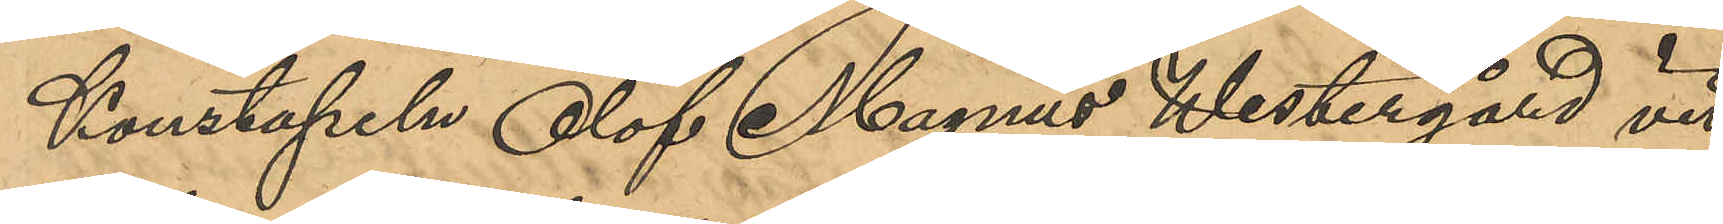Konstapeln Olof Magnus Westergård vid
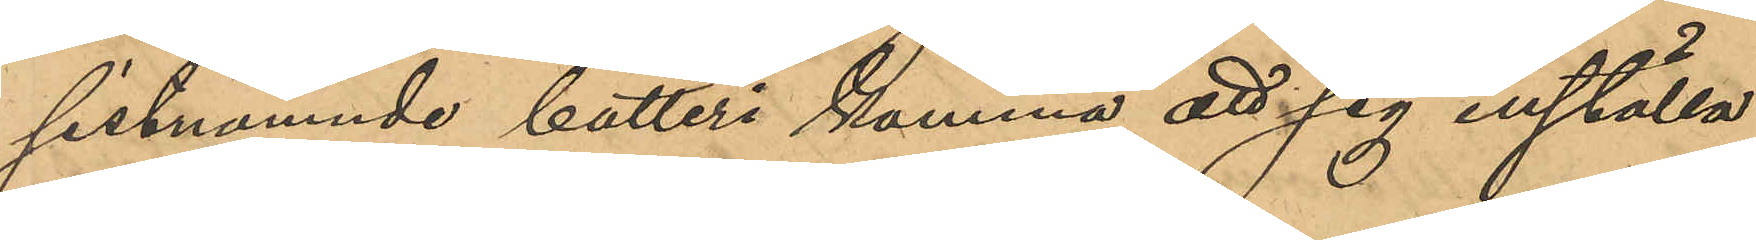sistnamnde batteri komma att sig inställa
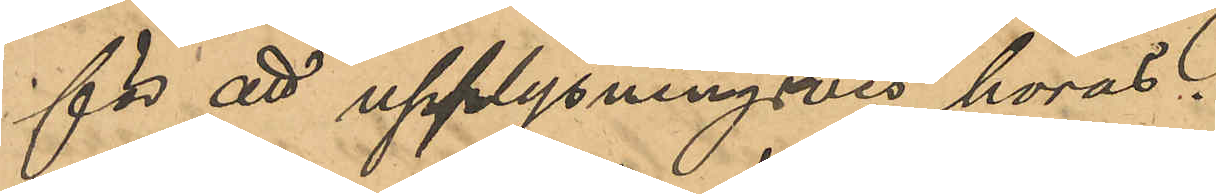för att upplysningsvis höras.
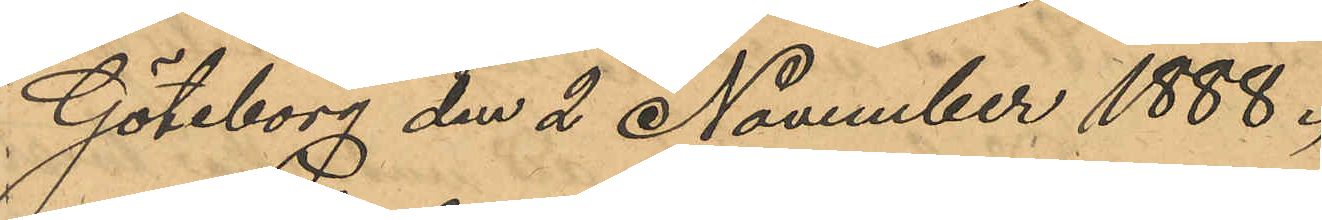Göteborg den 2 November 1888.
